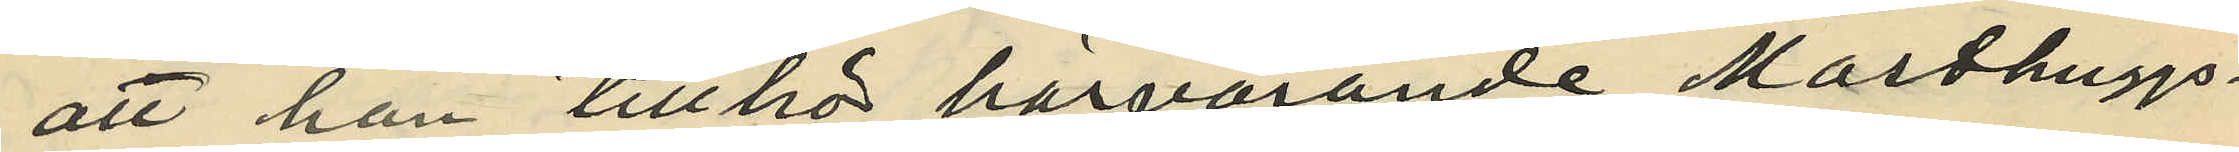att han tillhör härvarande Masthuggs
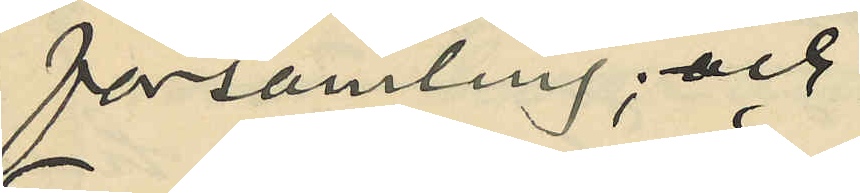församling; och
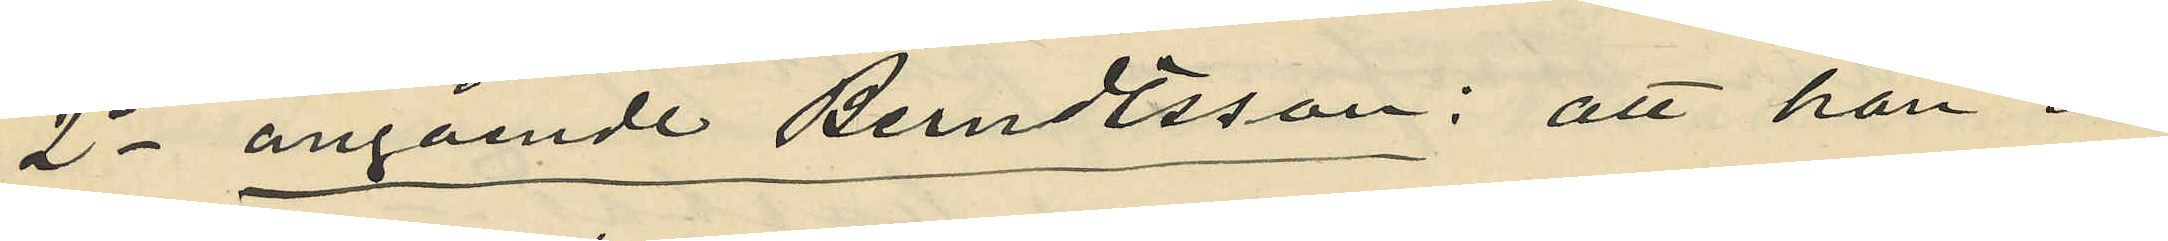2o angående Berndtsson: att han är
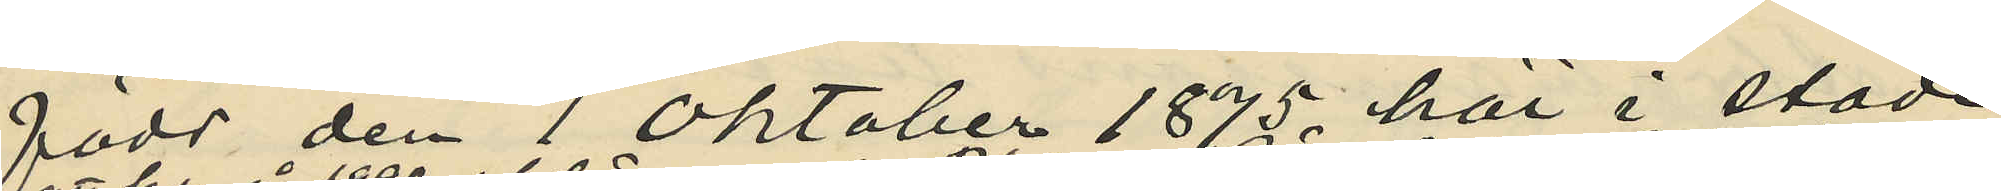född den 1 Oktober 1875 här i staden,
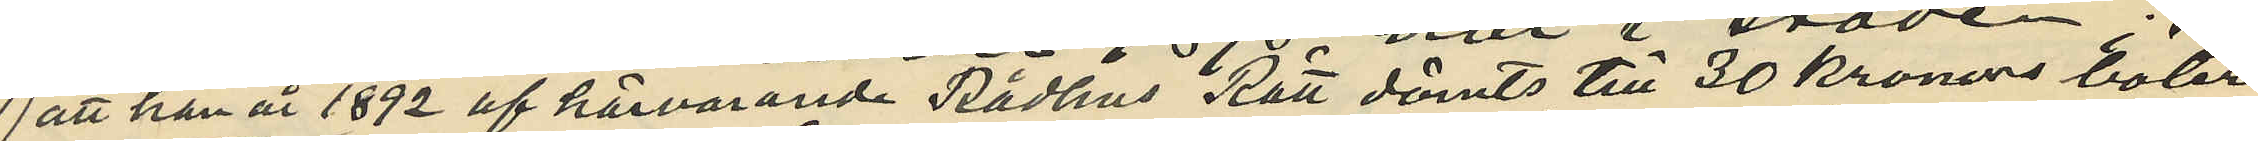att han år 1892 af härvarande Rådhus Rätt dömts till 30 kronor böter
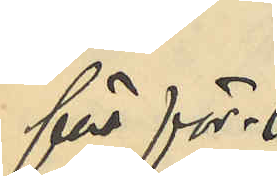för för¬
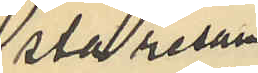sta resan
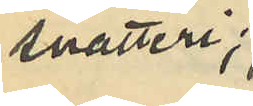snatteri;
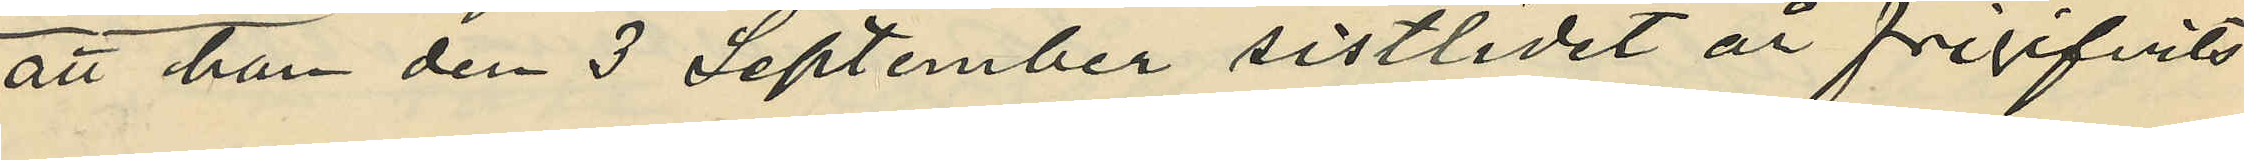att han den 3 September sistlidet år frigifvits
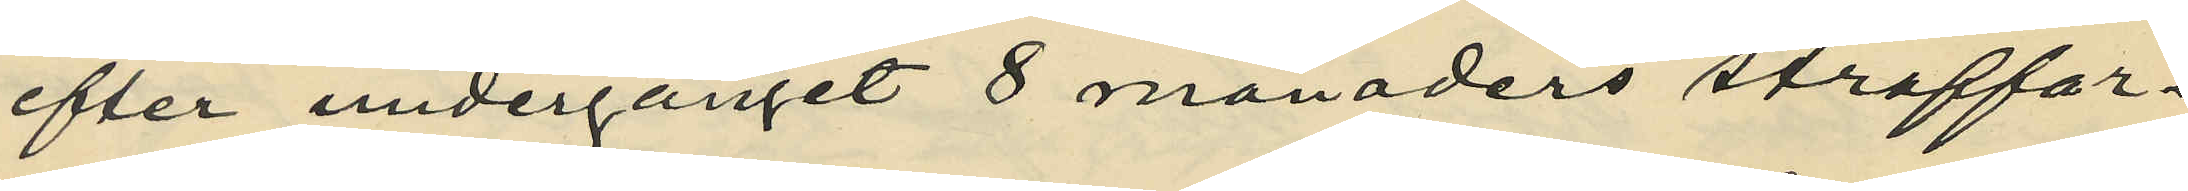efter undergånget 8 månaders straffar¬
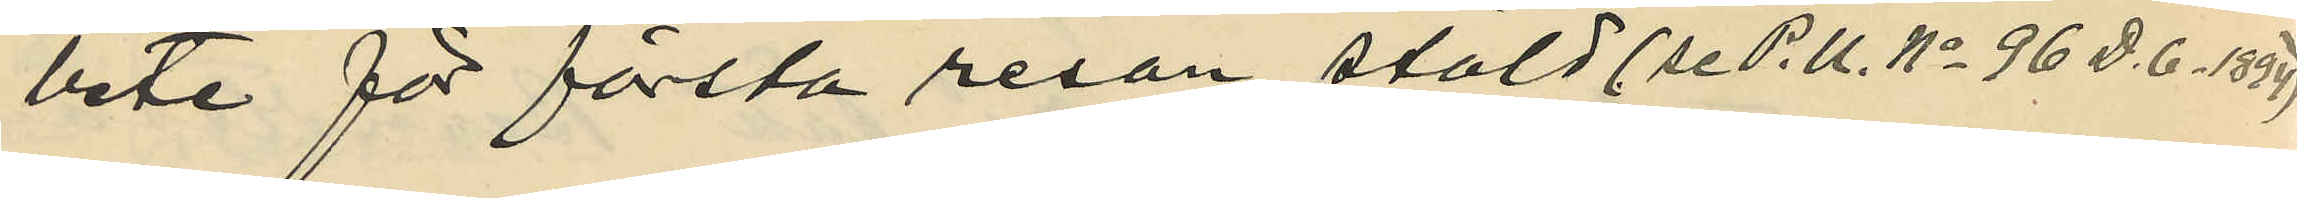bete för första resan stöld (se P.U. No 96 D. 6. 1894),
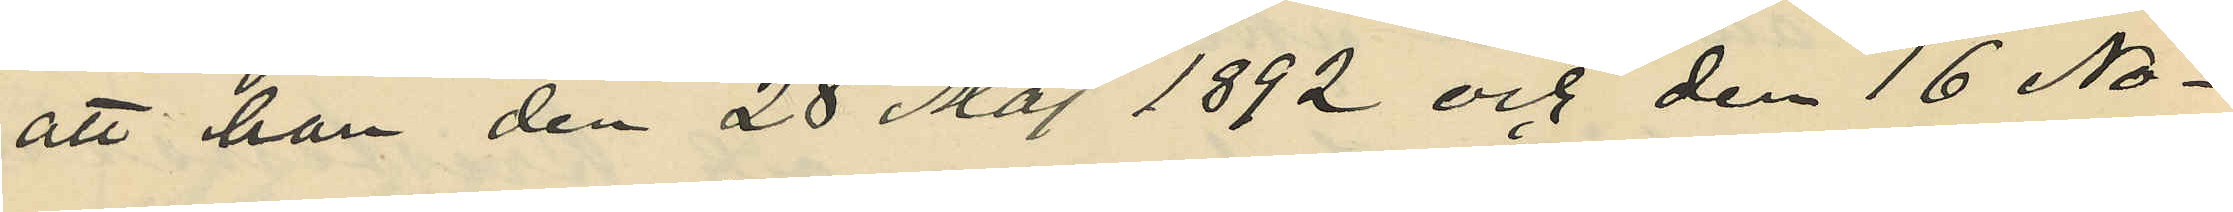att han den 28 Maj 1892 och den 16 No¬
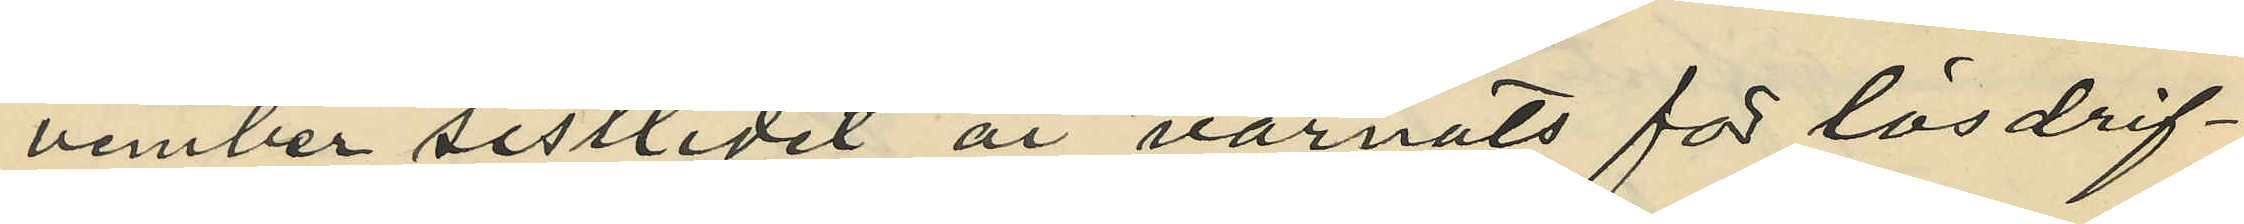vember sistlidet år varnats för lösdrif¬
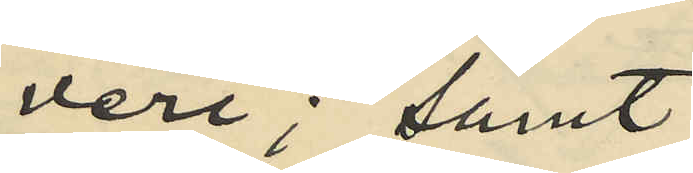veri; samt
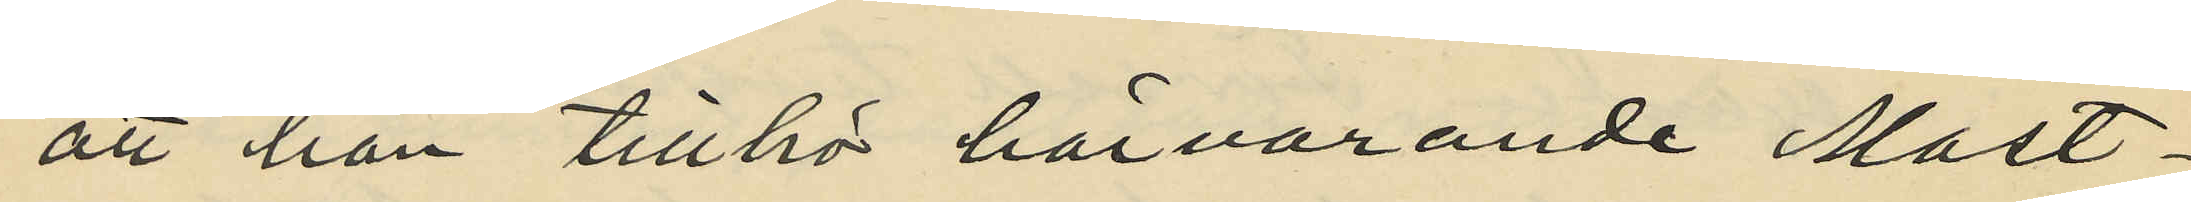att han tillhör härvarande Mast¬
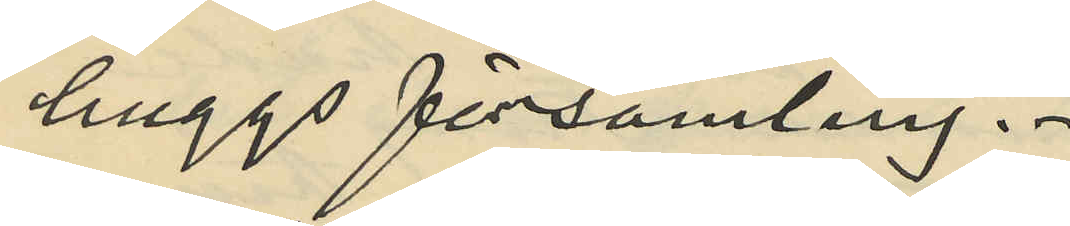huggs församling.
